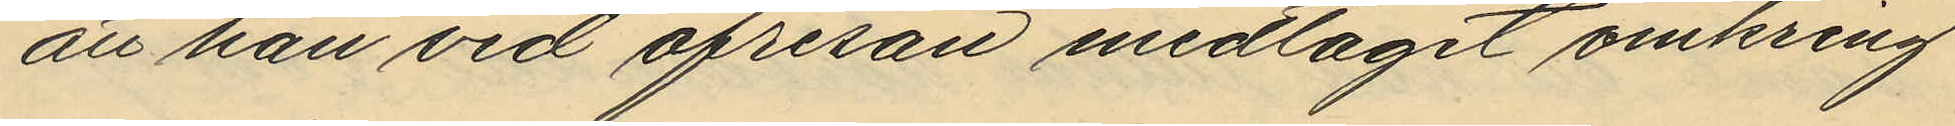att han vid afresan medtagit omkring
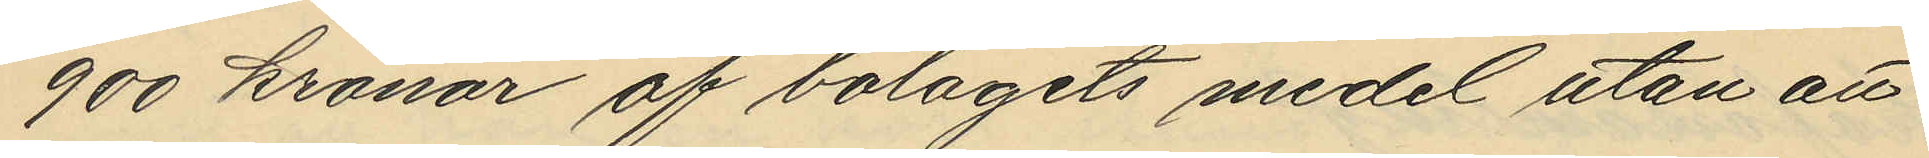900 kronor af bolagets medel utan att
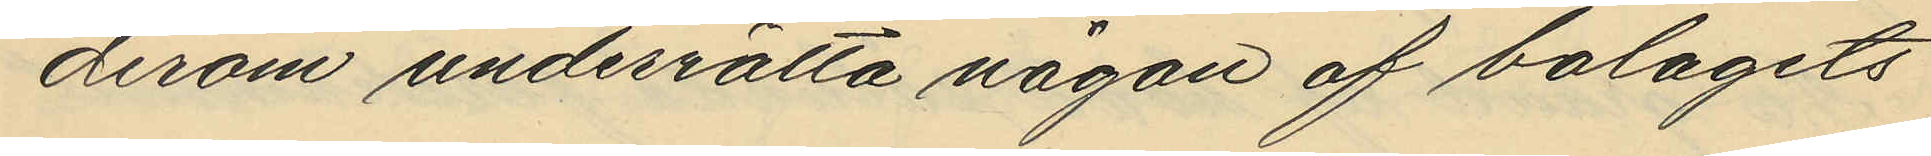derom underrätta någon af bolagets
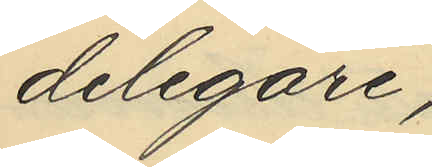delegare,
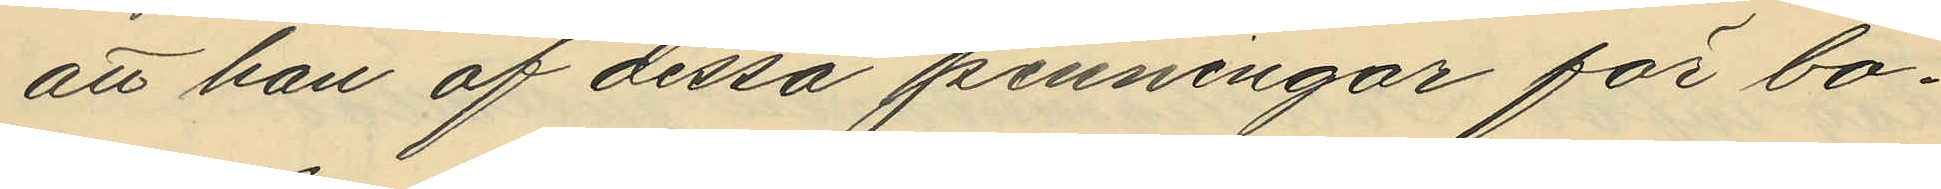att han af dessa penningar för bo¬
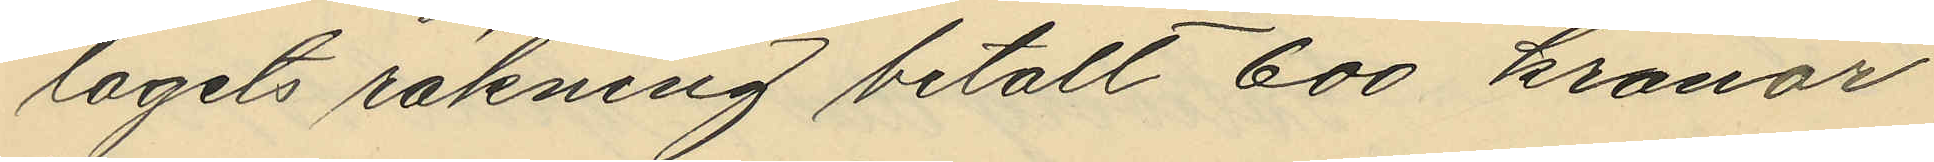lagets räkning betalt 600 kronor
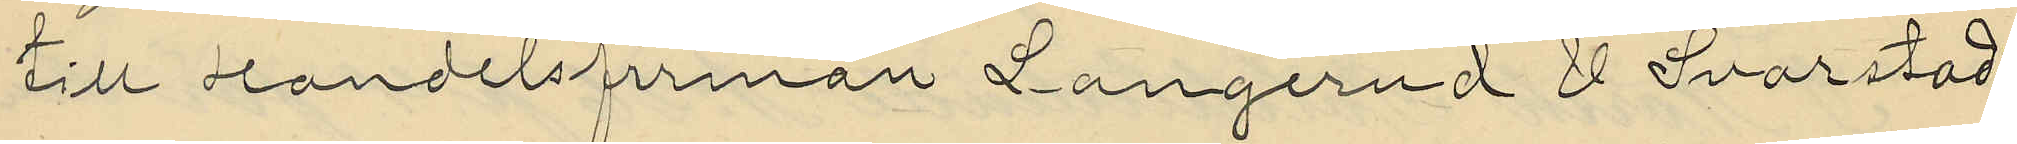till Handelsfirman Langerud & Svarstad
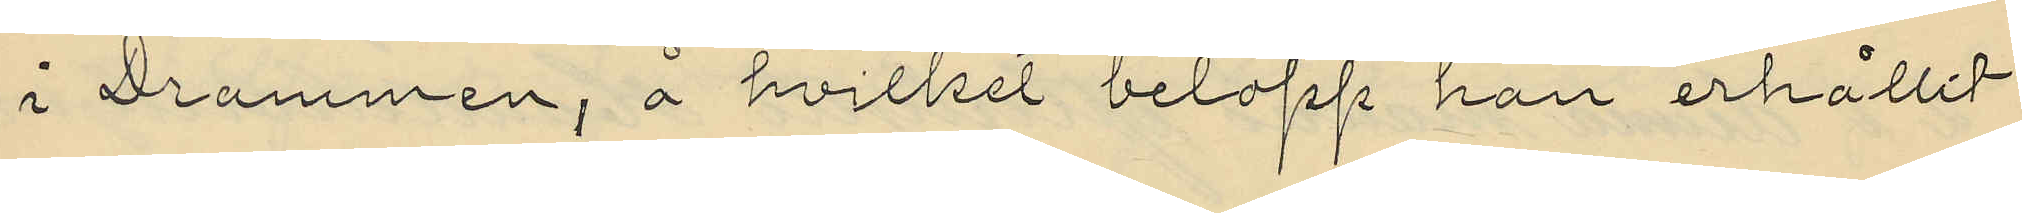i Drammen, å hvilket belopp han erhållit
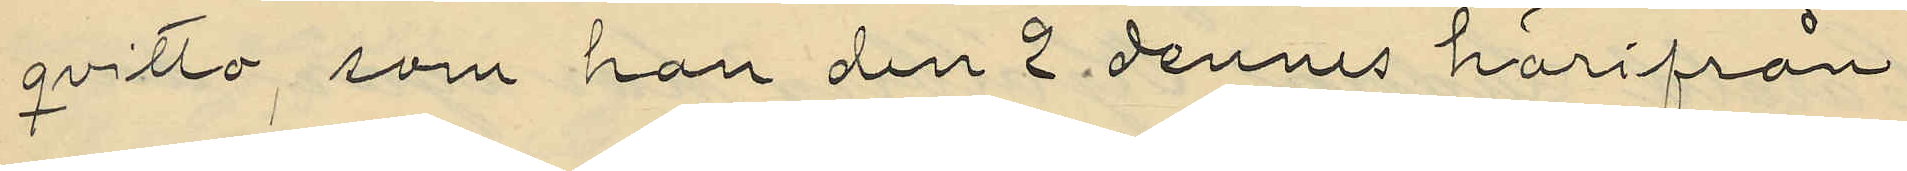qvitto, som han den 2 dennes härifrån
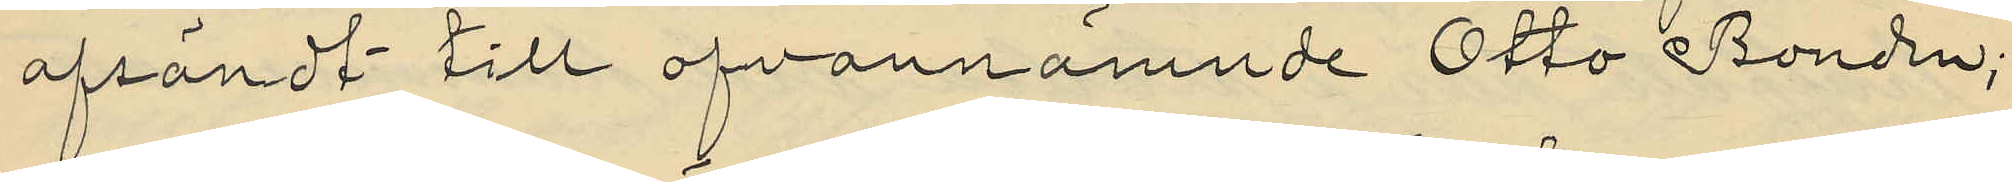afsändt till ofvannämnde Otto Bonden;
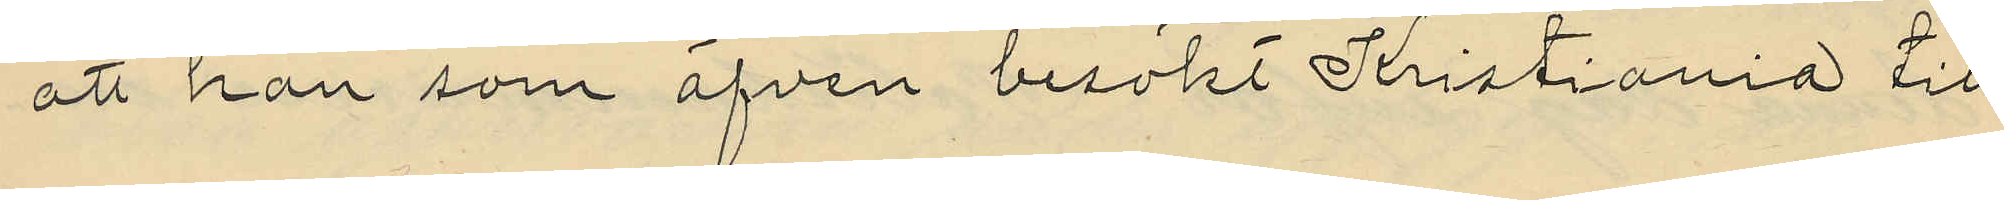att han som äfven besökt Kristiania till
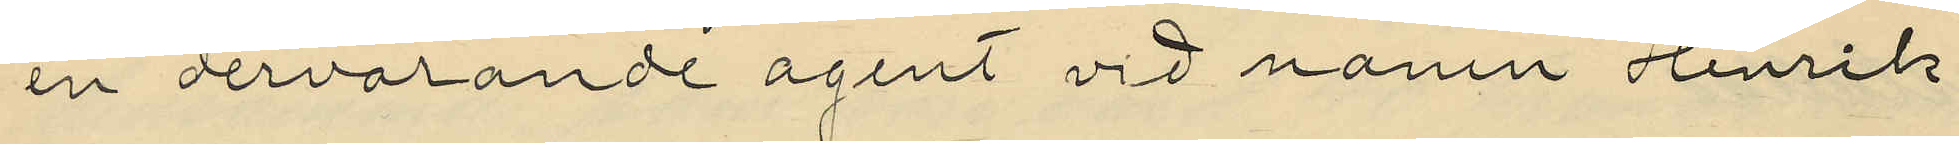en dervarande agent vid namn Henrik
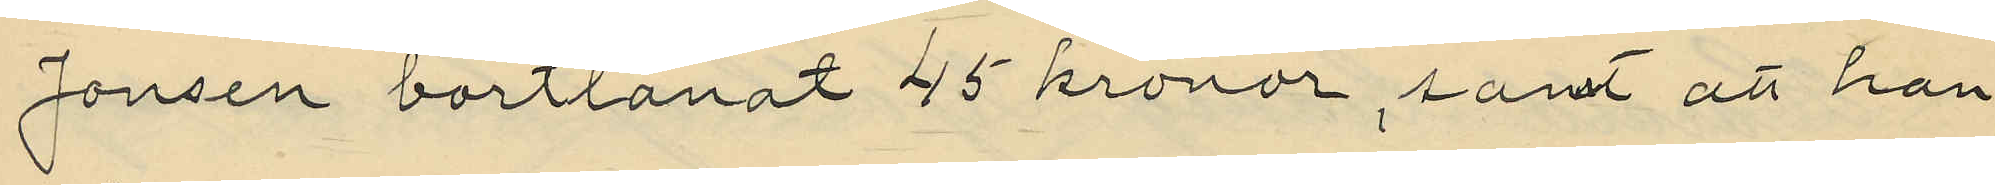Jonsen bortlånat 45 kronor, samt att han
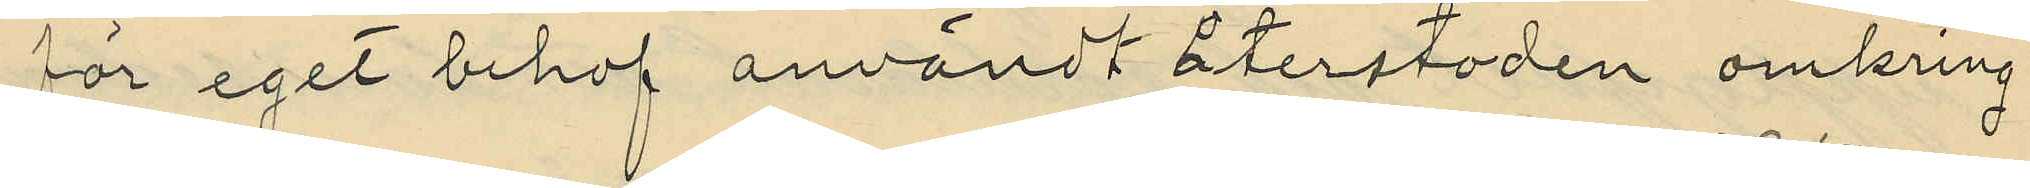för eget behof användt återstoden omkring
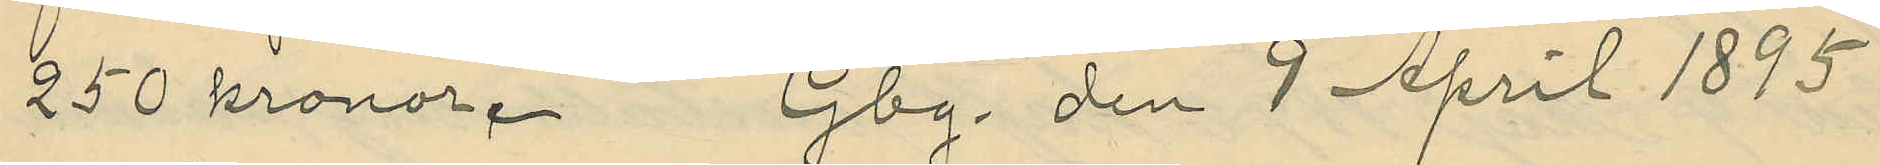250 kronor. Gbg. den 9 April 1895
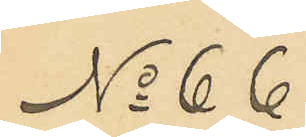No 66
